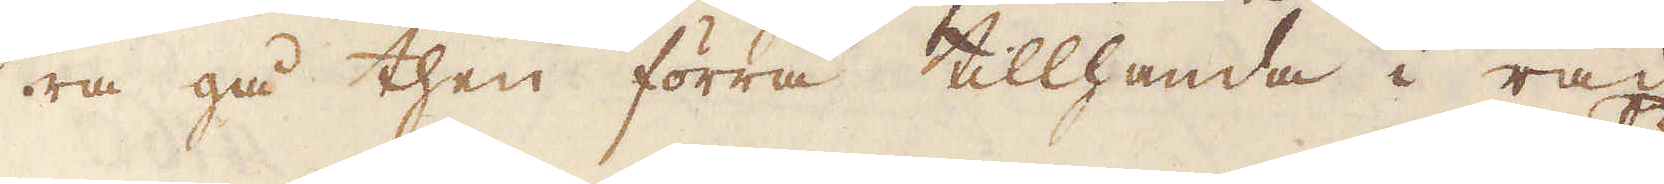ra gå then förra tillhanda i råd
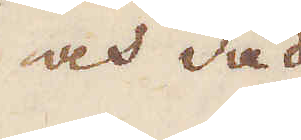och dåd
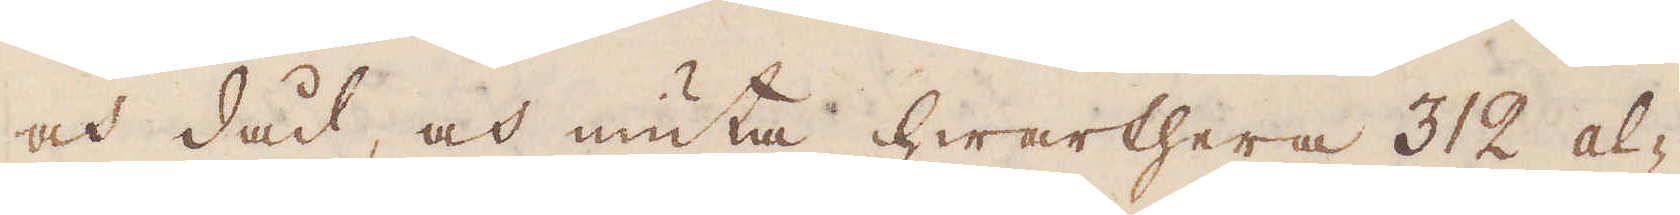och dåd, och niuta hwarthera 312 al-
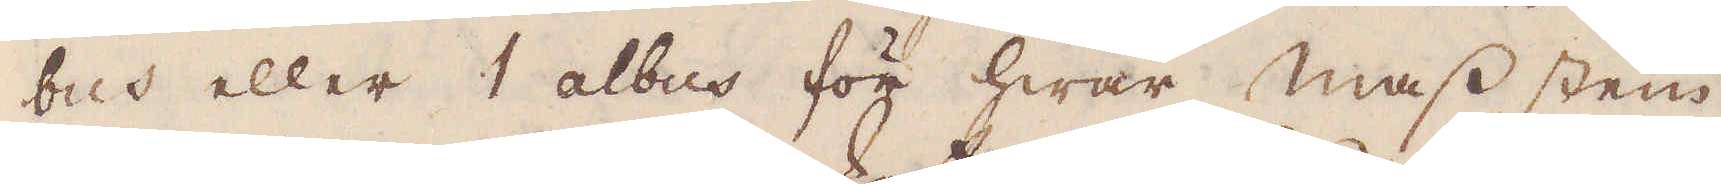bus eller 1 albus för hwar mass stein
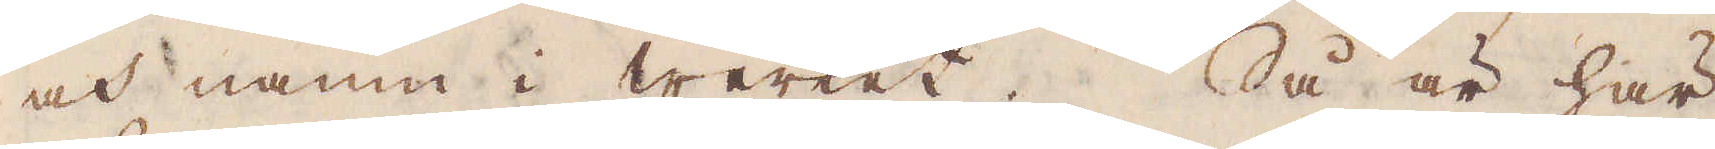och namn i Werket. Så är här
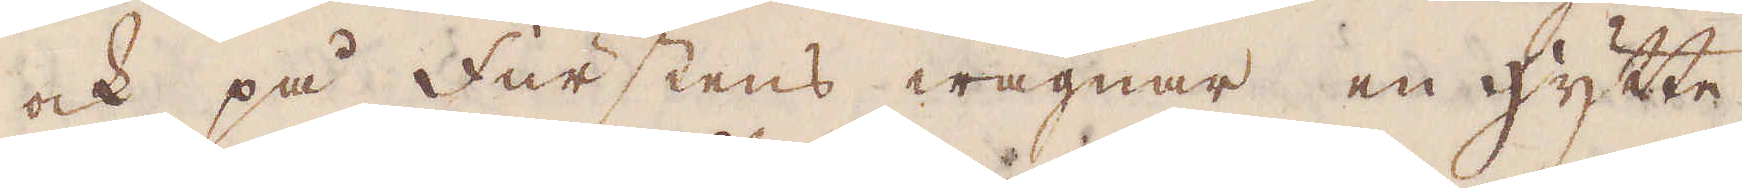ock på Furstens wägnar en hytte-
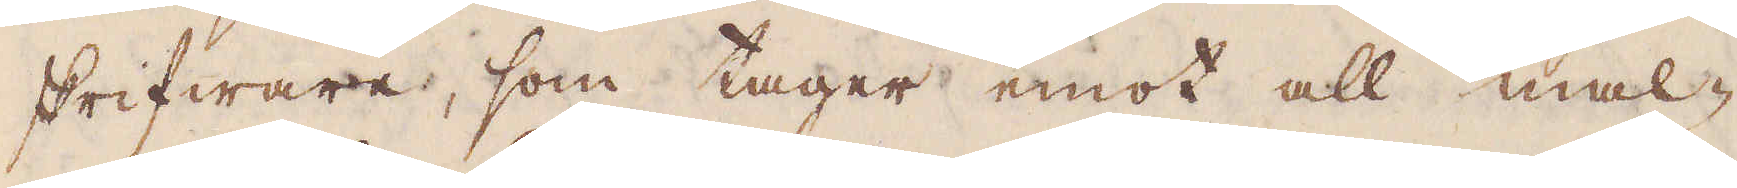skrifware, som tager emot all mal-
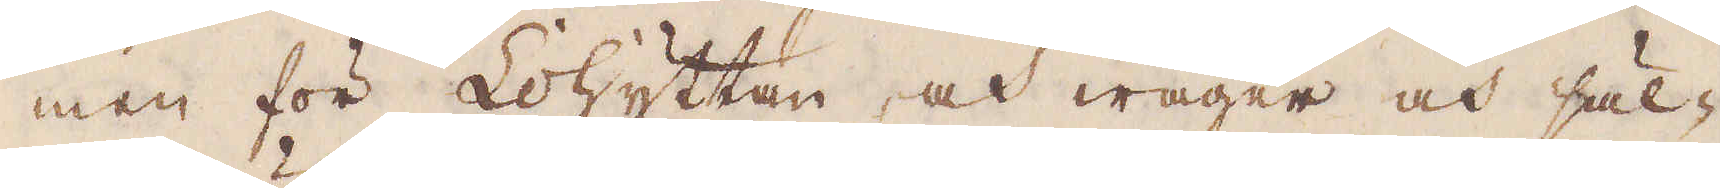men för Lohyttan och wäger och säl-
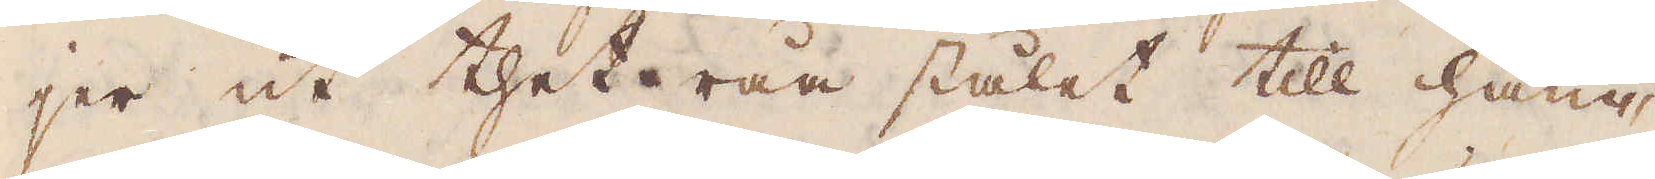jer ut thet råa stålet till ham-
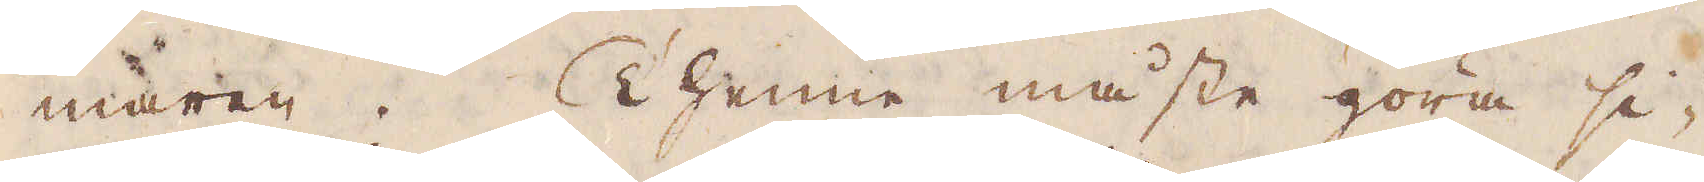maren. Thenne måste göra si-
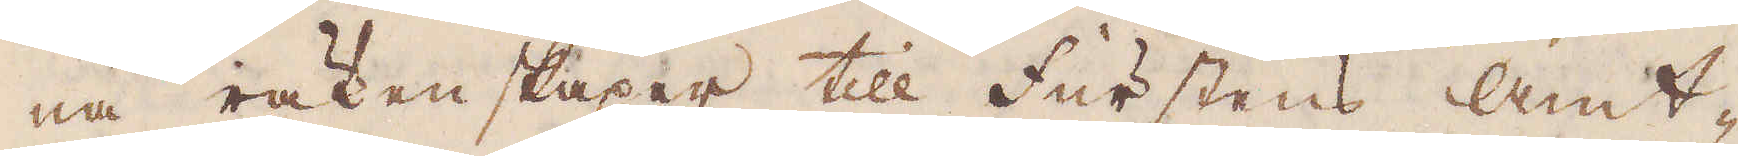na räkenskaper till Furstens amt-
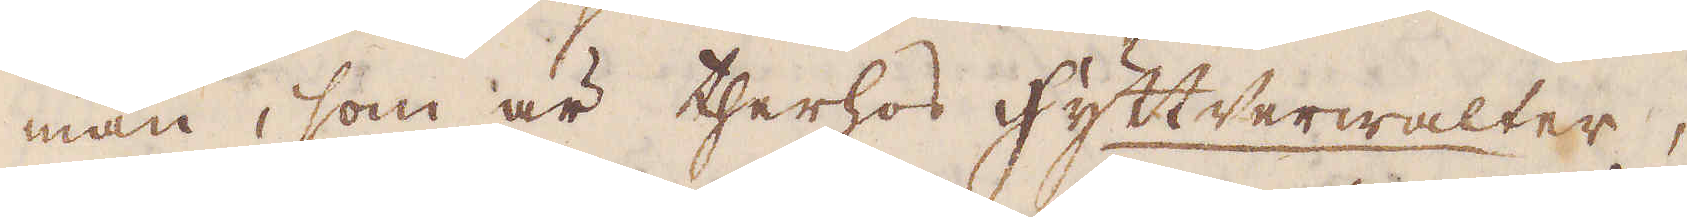man, som är therhos Hyttwerwalter,
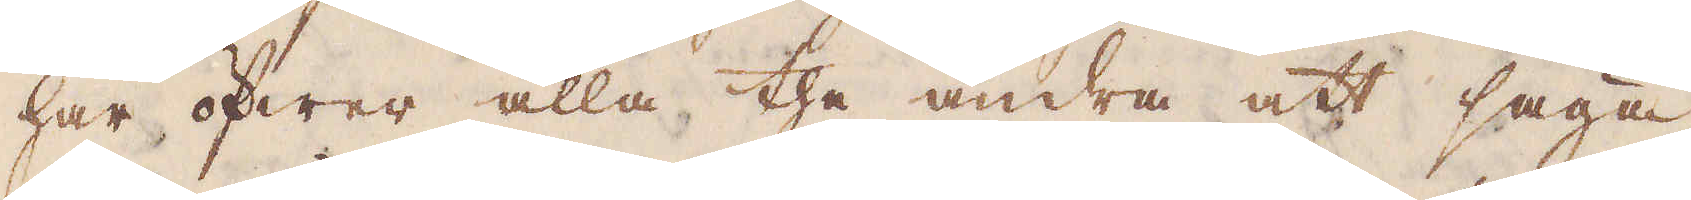har öfwer alla the andra att säga,
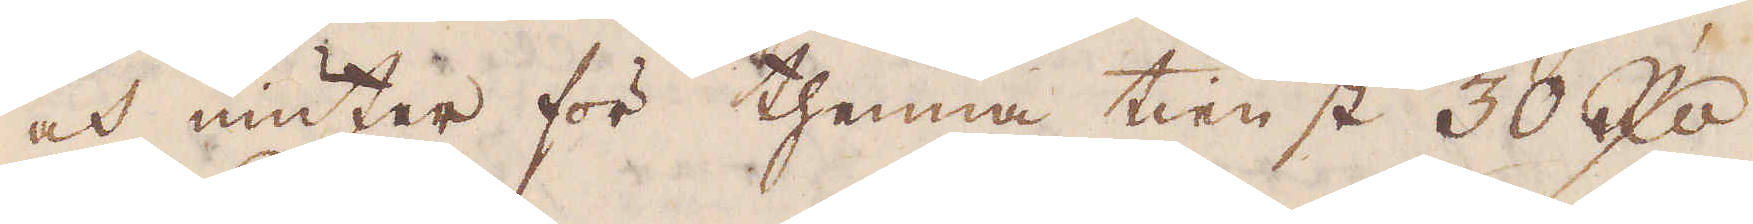och niuter för thenna tienst 30 R:dr
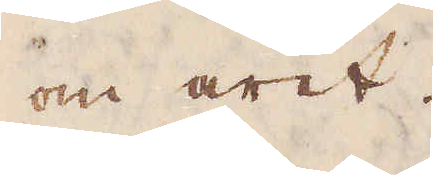om året.
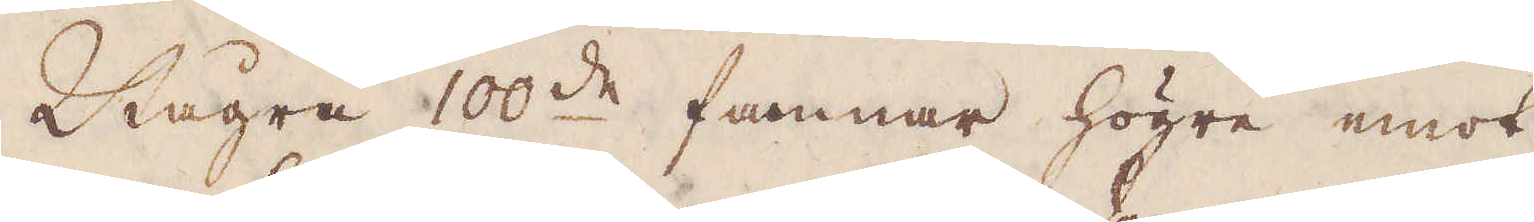Några 100:de famnar högre emot
